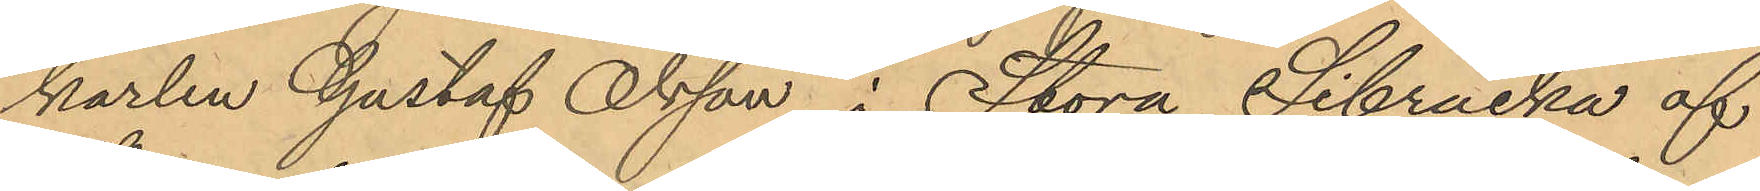karlen Gustaf Olsson i Stora Sibräcka af
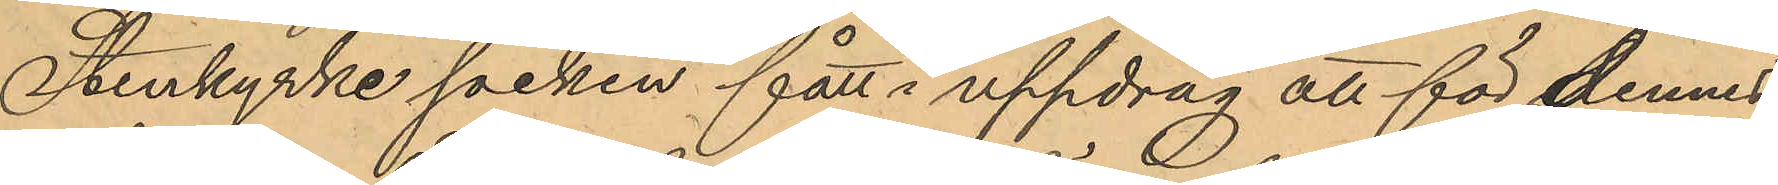Stenkyrke socken fått i uppdrag att för dennes
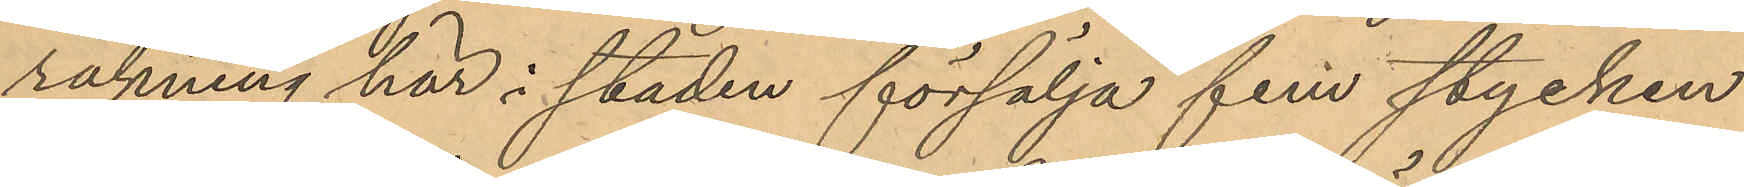räkning här i staden försälja fem stycken
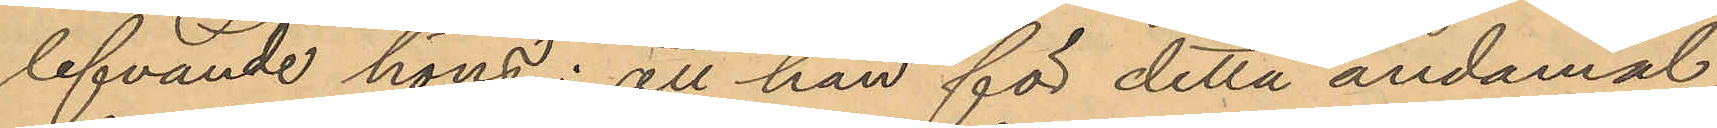lefvande höns; att hon för detta ändamål
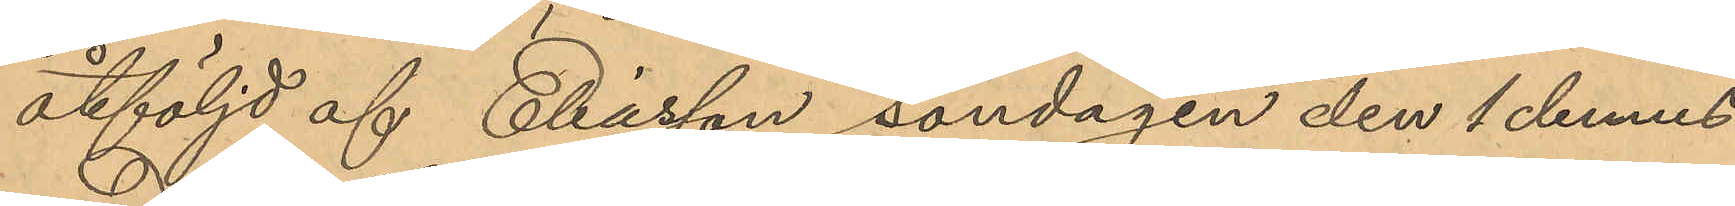åtföljd af Eliasson söndagen den 1 dennes
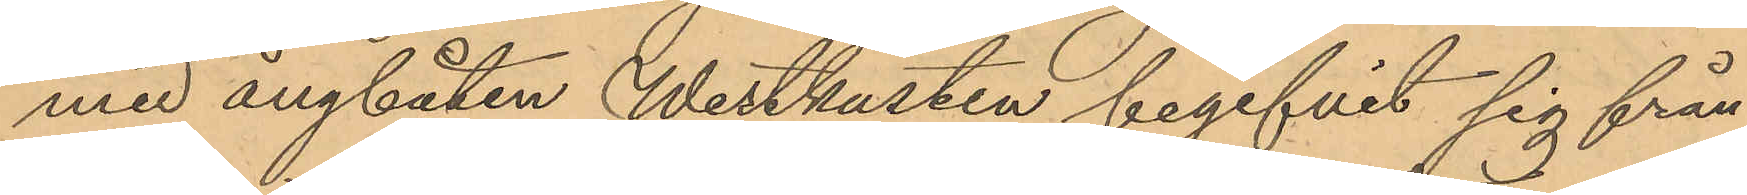med ångbåten Westkusten begifvit sig från
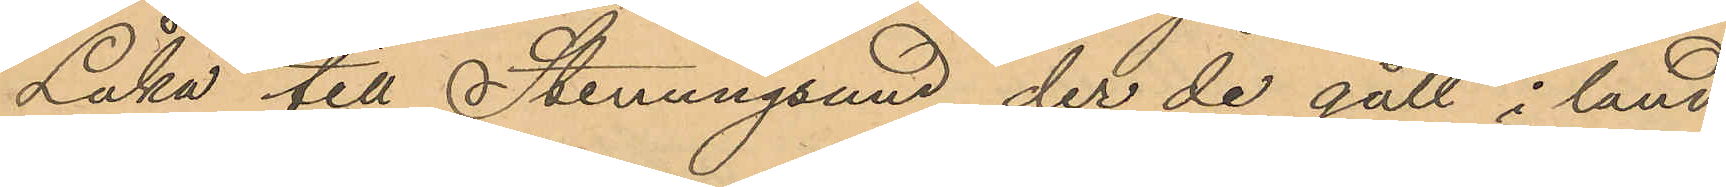Låka till Stenungsund, der de gått i land
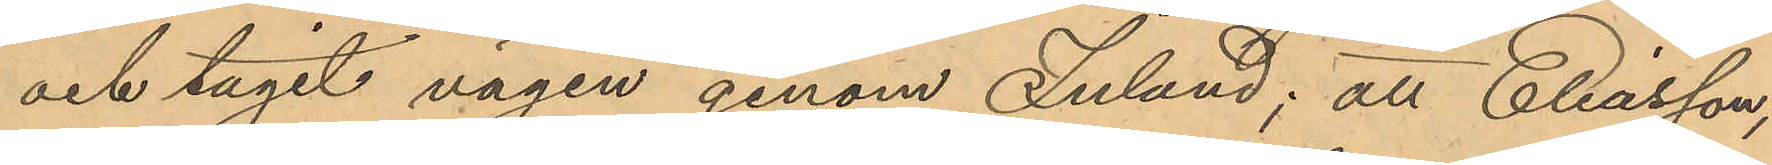och tagit vägen genom Inland; att Eliasson,
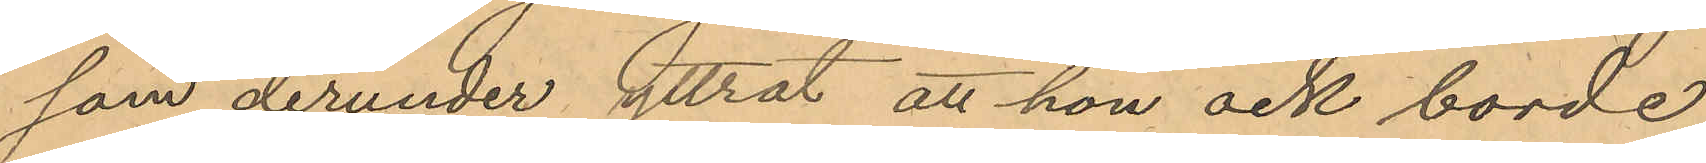som derunder yttrat att hon ock borde
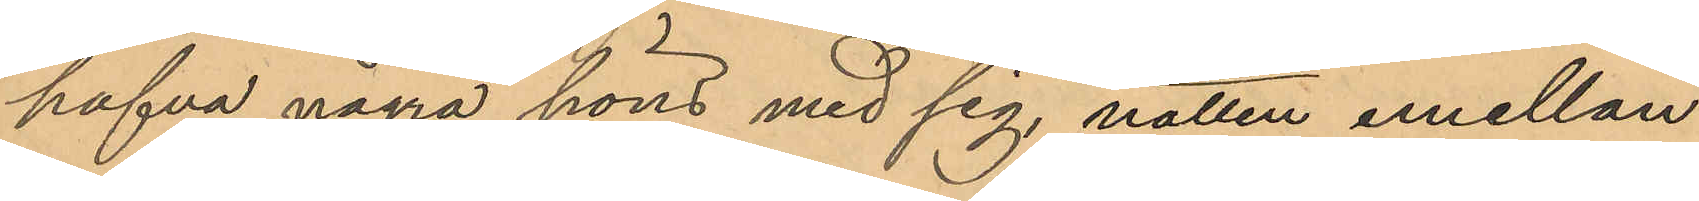hafva några höns med sig natten emellan
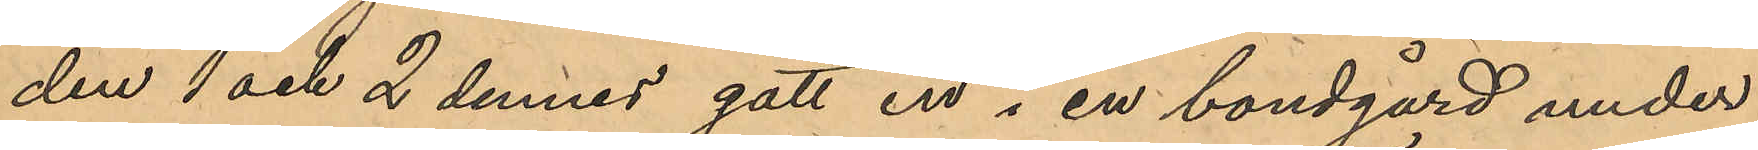den 1 och 2 dennes gått in i en bondgård under
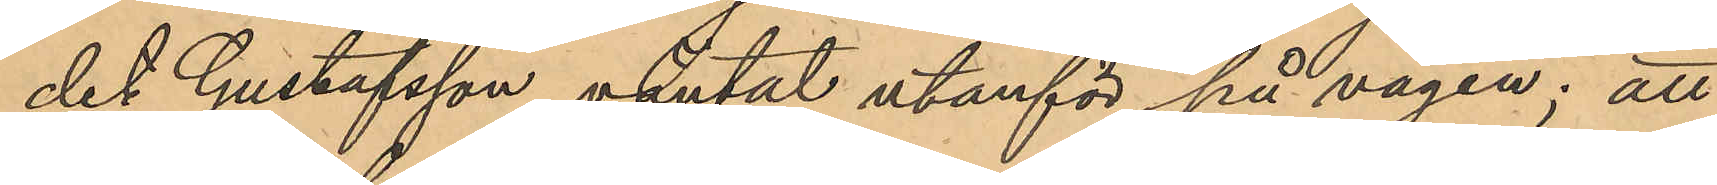det Gustafsson väntat utanför på vägen; att
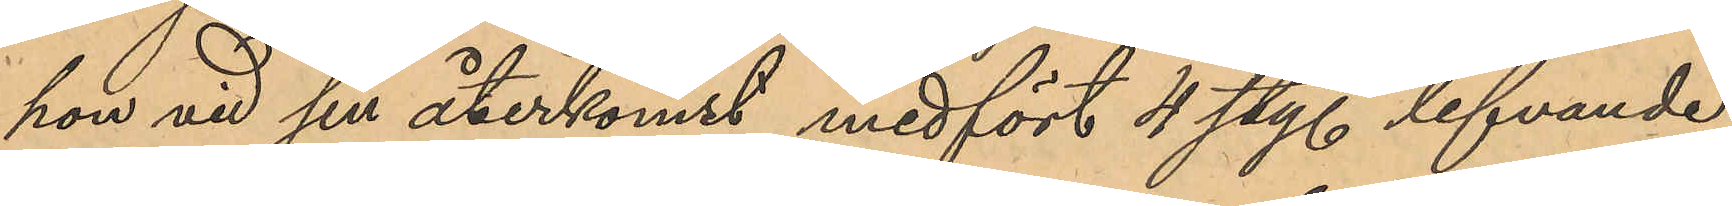hon vid sin återkomst medfört 4 sty. lefvande
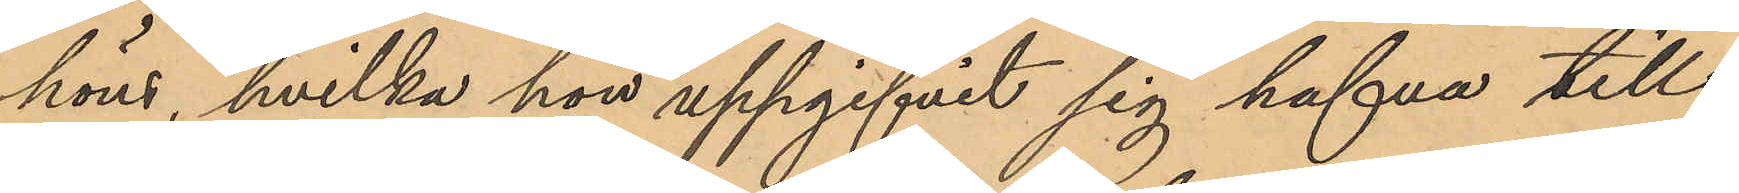höns, hvilka hon uppgifvit sig hafva till¬
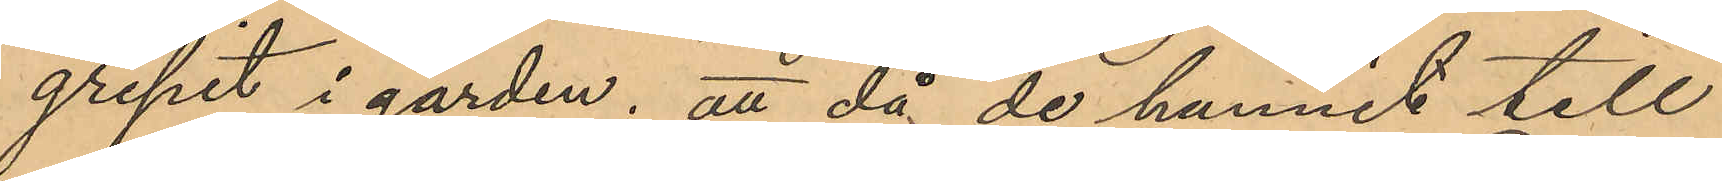gripit i gården; att då de hunnit till
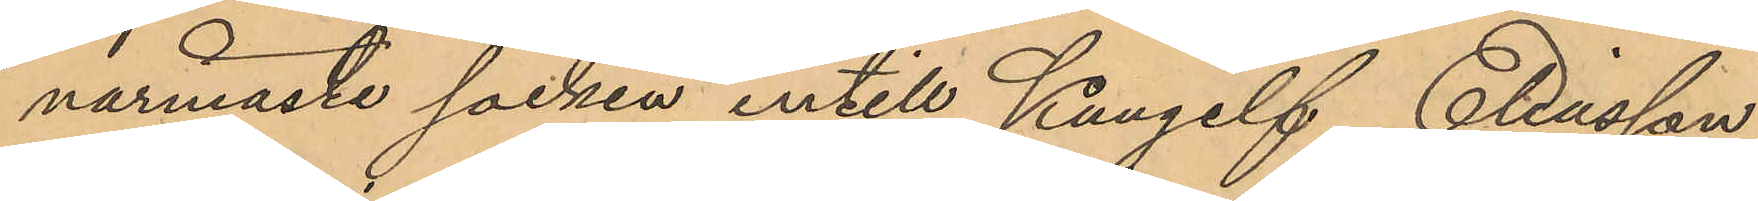närmaste socken intill Kungelf, Eliasson
